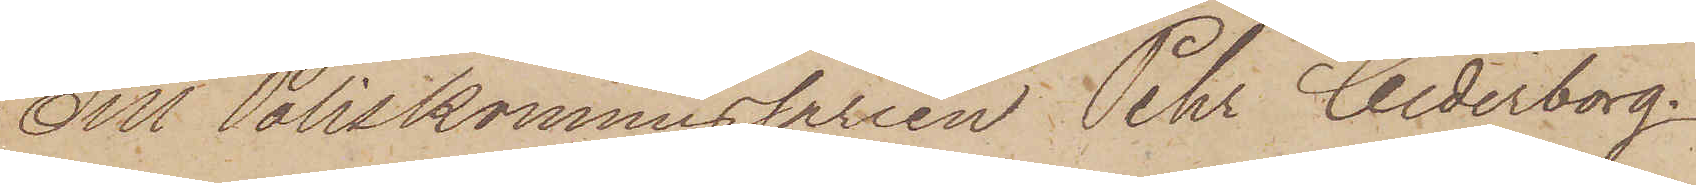Till Poliskommissarien Pehr Cederborg.
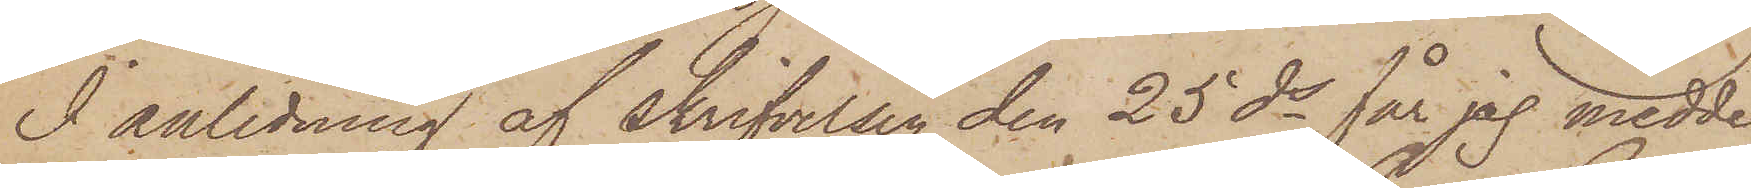I anledning af skrifvelsen den 25 ds får jag medde¬
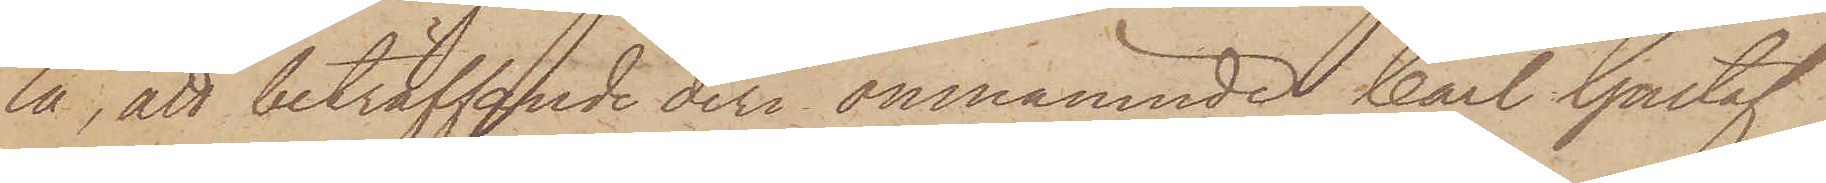la, att beträffande deri omnämnde Carl Gustaf
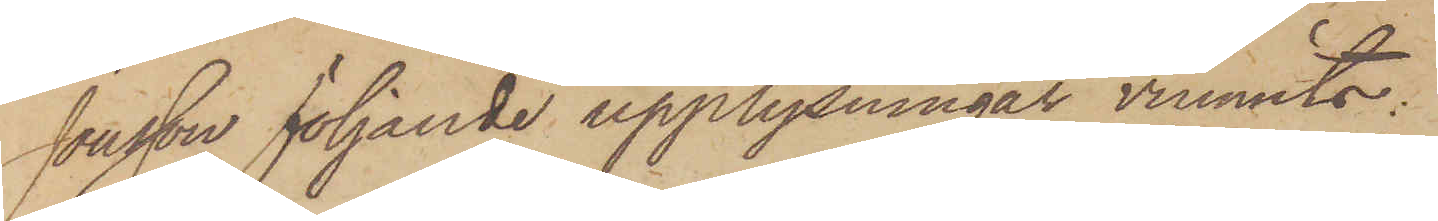Jonson följande upplysningar vunnits:
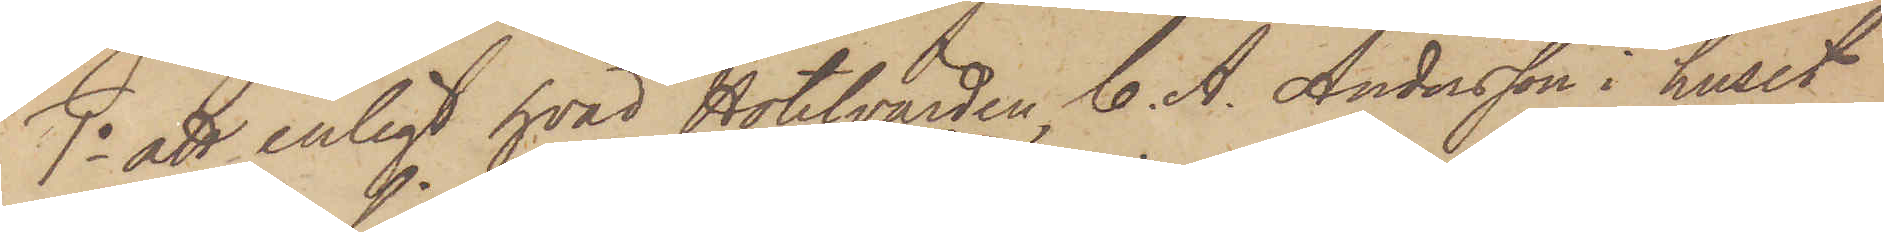1o att enligt hvad Hotelvärden C. A. Andersson i huset
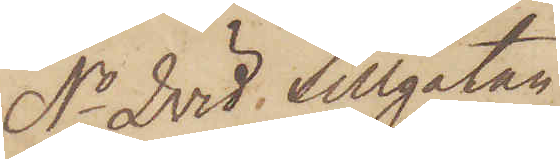No 2 vid Sillgatan
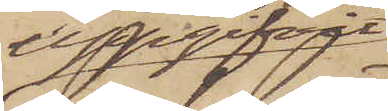uppgifvit
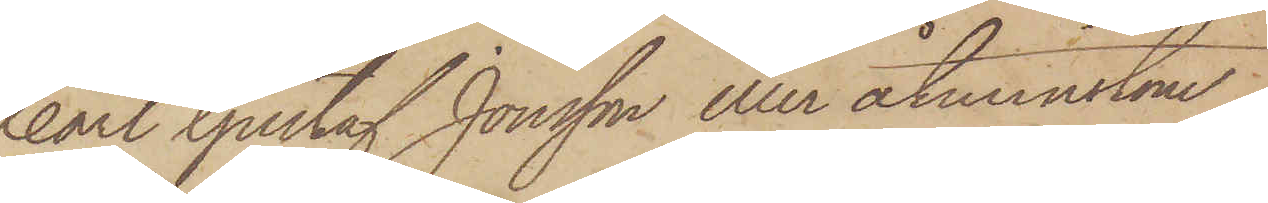Carl Gustaf Jonsson eller åtminstone
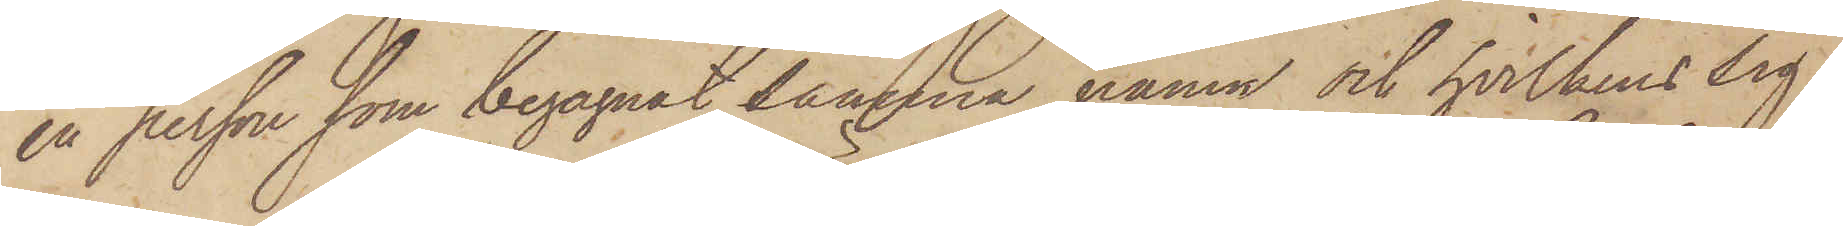en person som begagnat samma namn och hvilkens sig¬
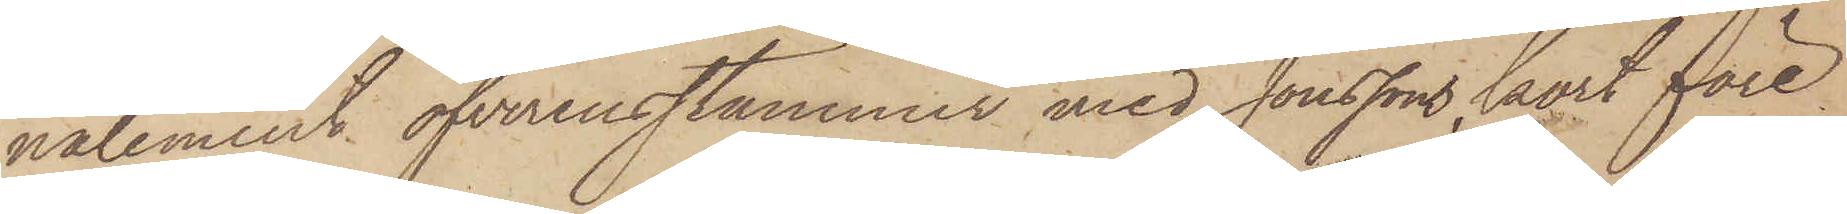nalement öfverensstämmer med Jonssons, kort före
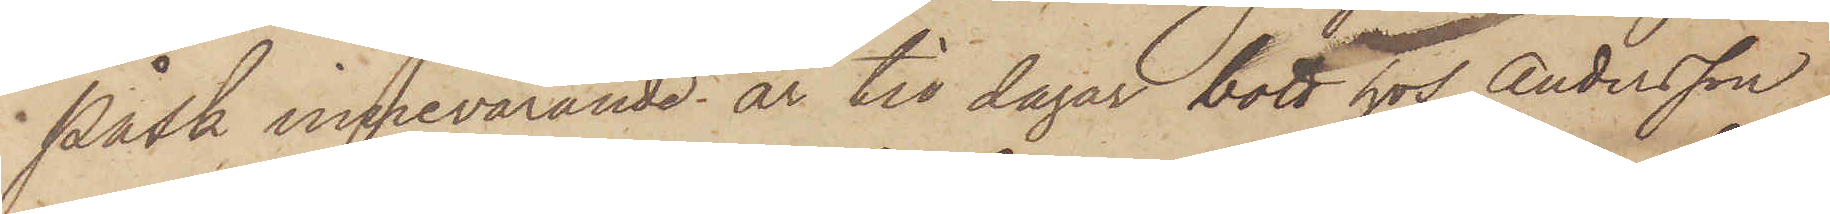Påsk innevarande år tio dagar bott hos Andersson
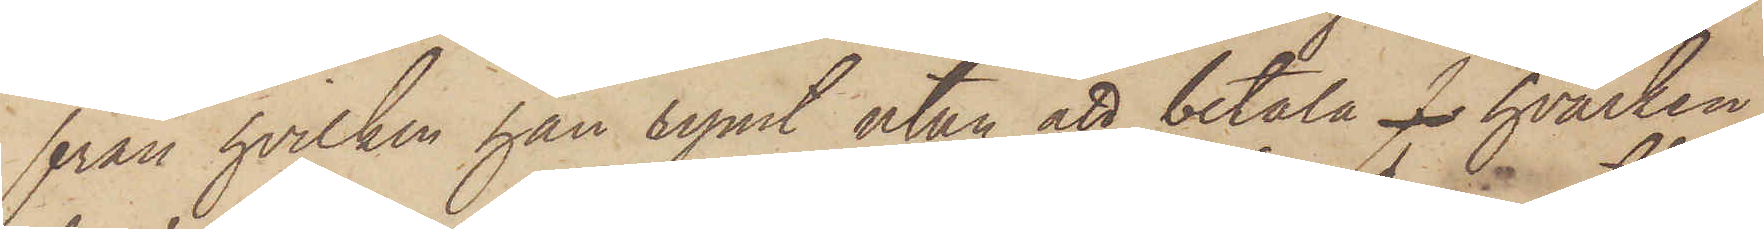från hvilken han rymt utan att betala för hvarken
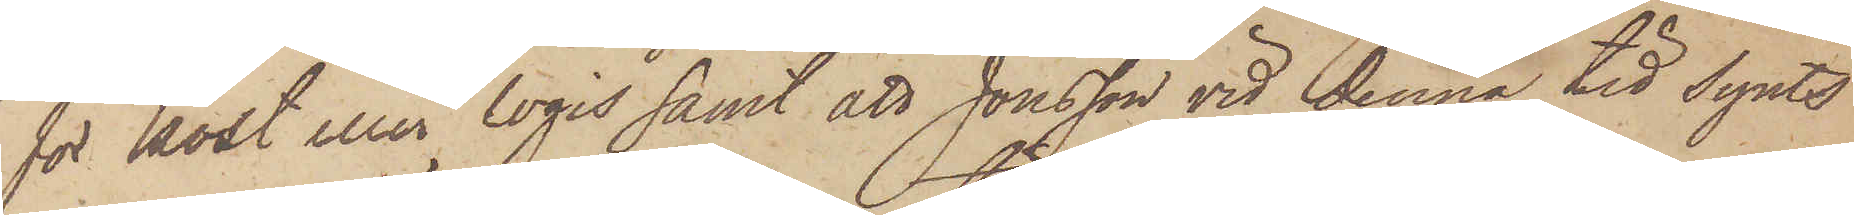för kost eller logis samt att Jonsson vid denna tid synts
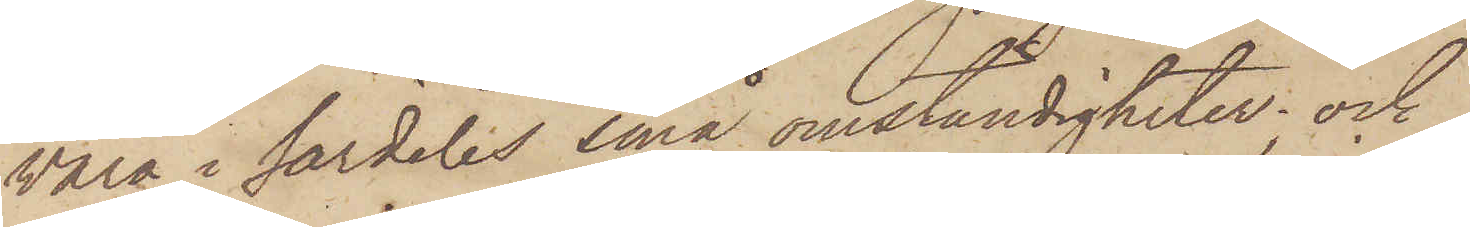vara i särdeles små omständigheter; och
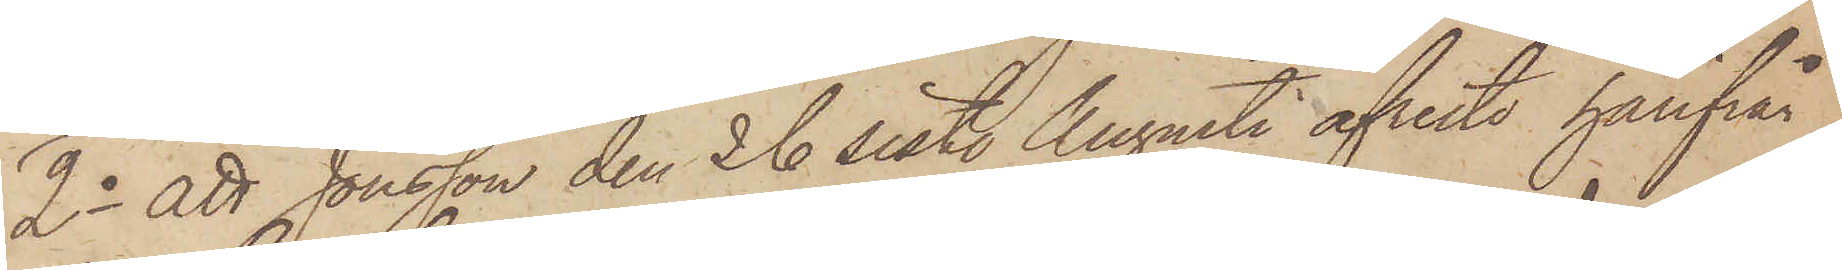2o att Jonsson den 26 sist. Augusti afreste härfrån
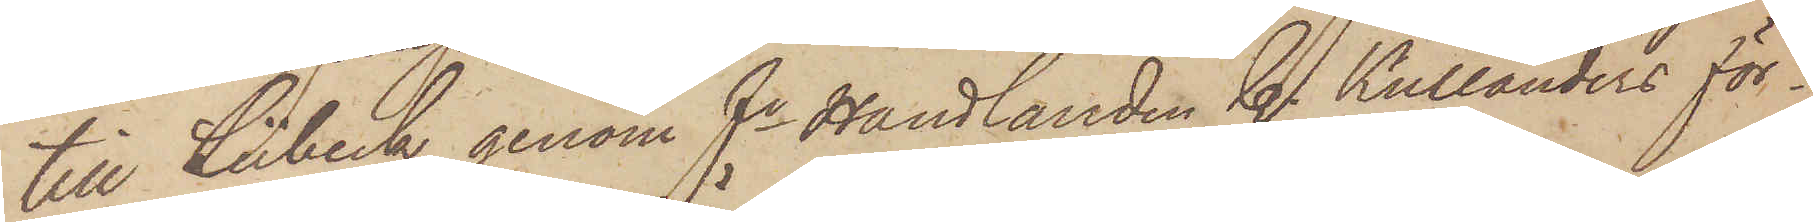till Lübeck genom fe Handlanden C. Kullanders för¬
